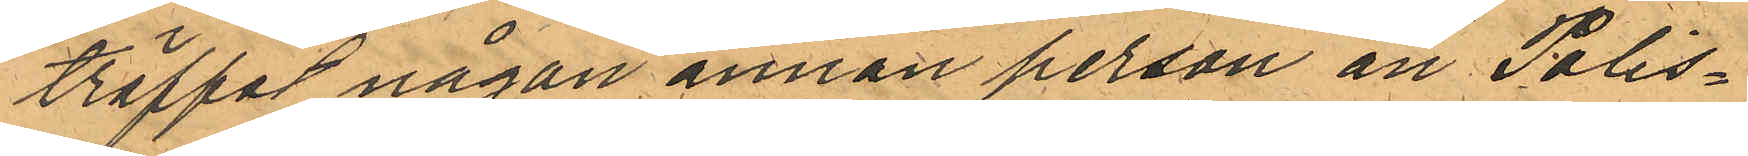träffat någon annan person än Polis¬
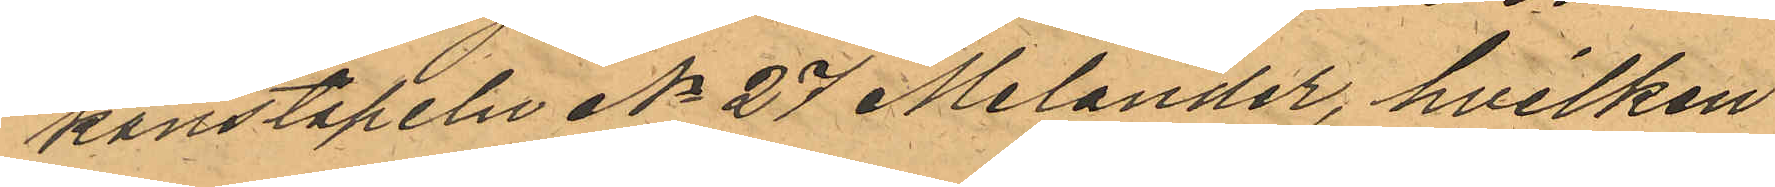konstapeln No 27 Melander, hvilken
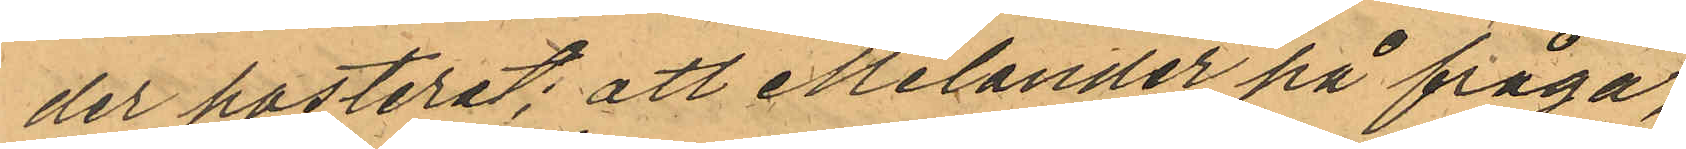der posterat; att Melander på fråga,
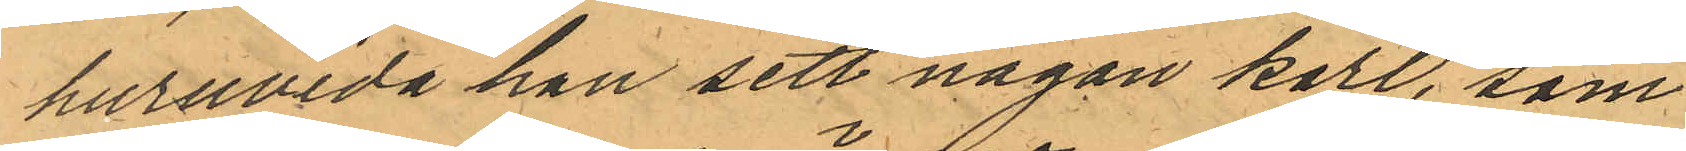huruvida han sett någon karl, som
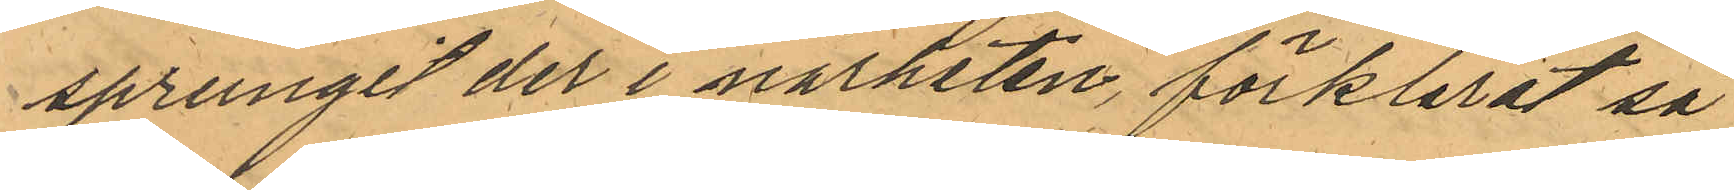sprungit der i närheten, förklarat så
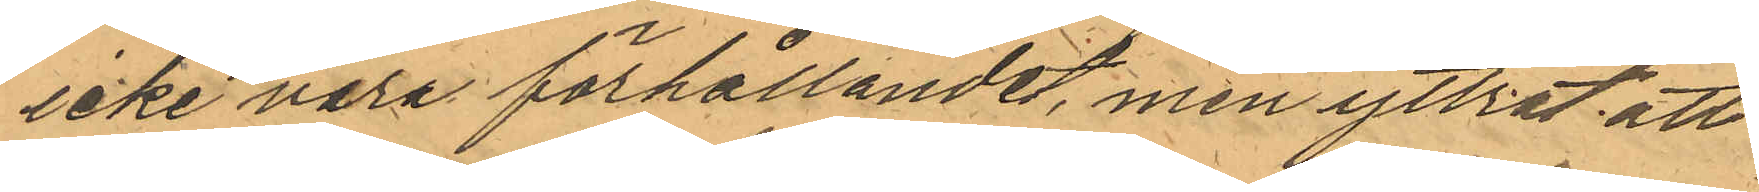icke vara förhållandet, men yttrat att
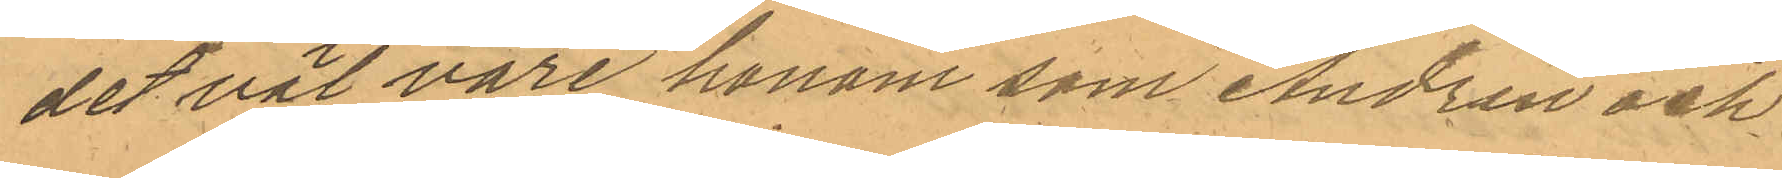det väl vore honom som Andrén och
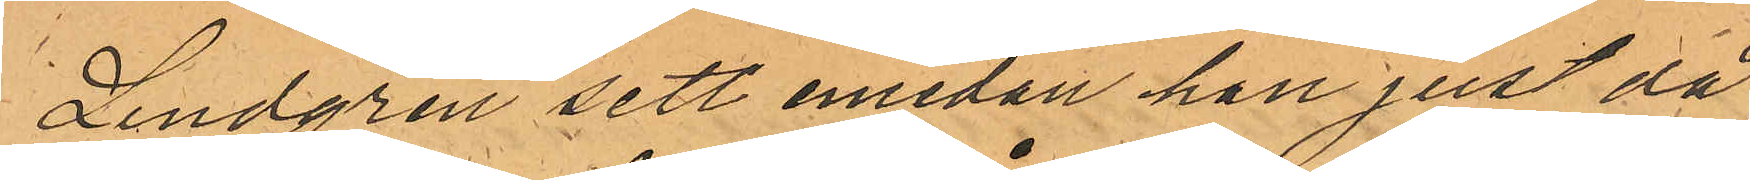Lindgren sett emedan han just då
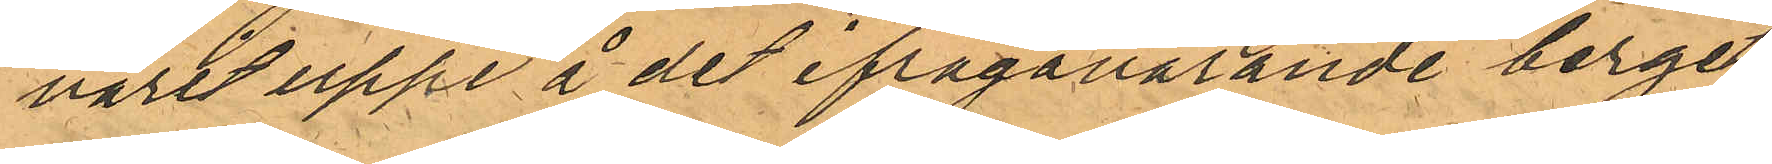varit uppe å det ifrågavarande berget
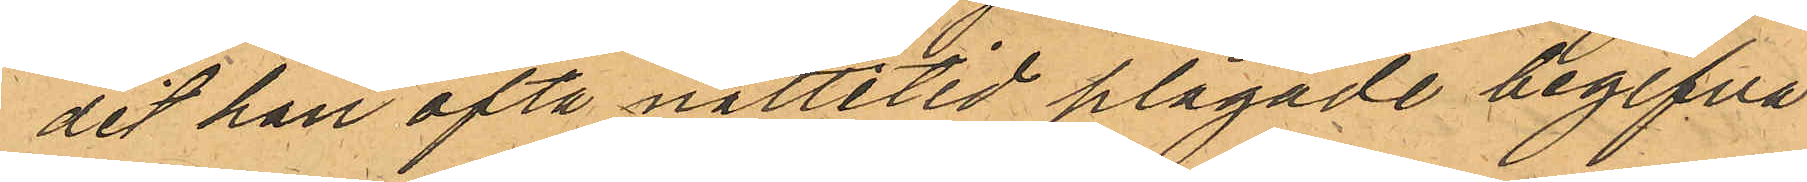dit han ofta nattetid plägade begifva
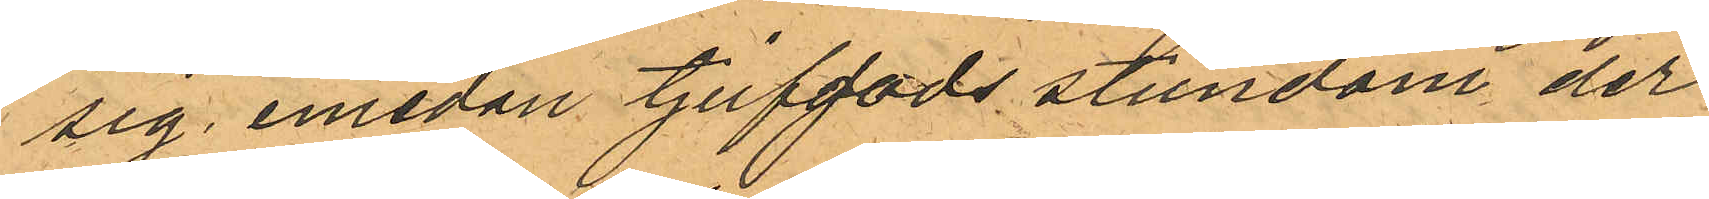sig emedan tjufgods stundom der
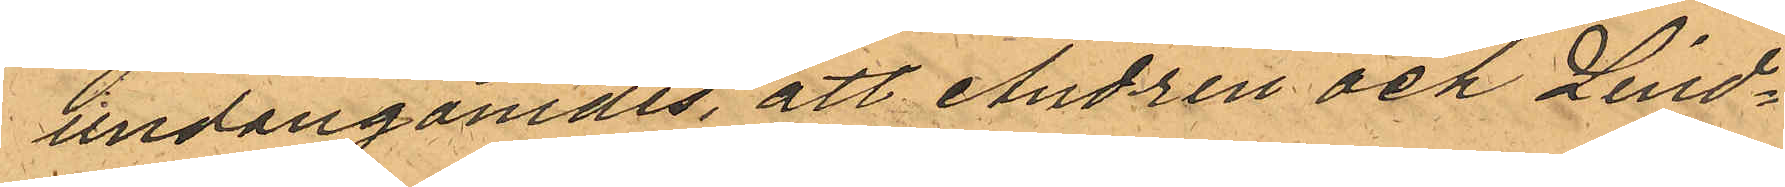undangömdes, att Andrén och Lind¬
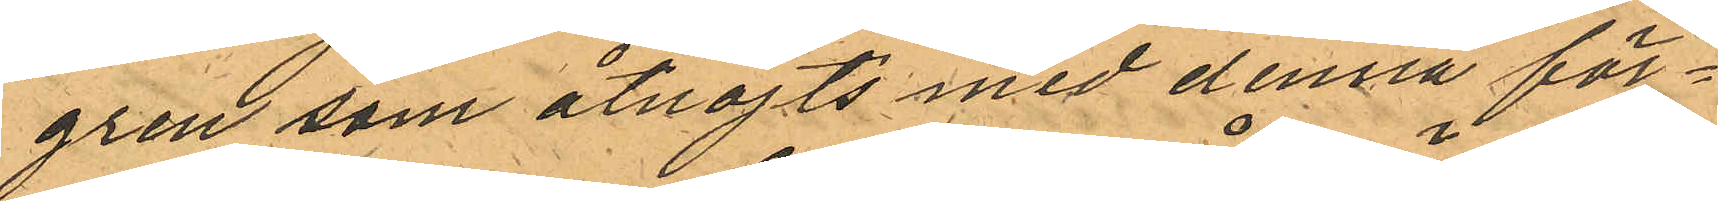gren som åtnöjts med denna för¬
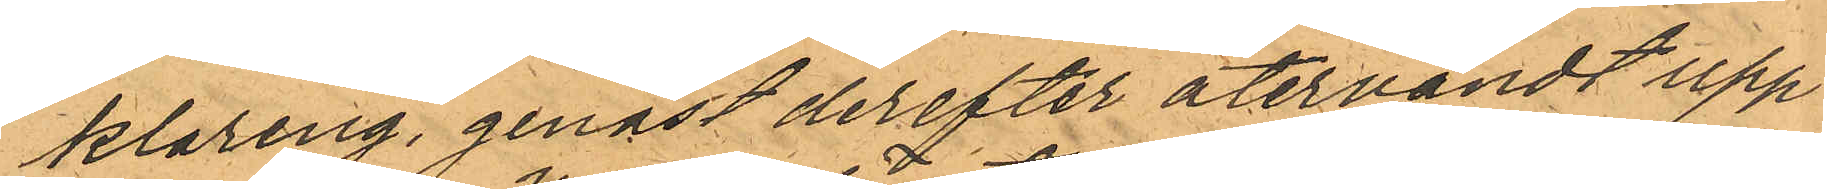klaring, genast derefter återvändt upp¬
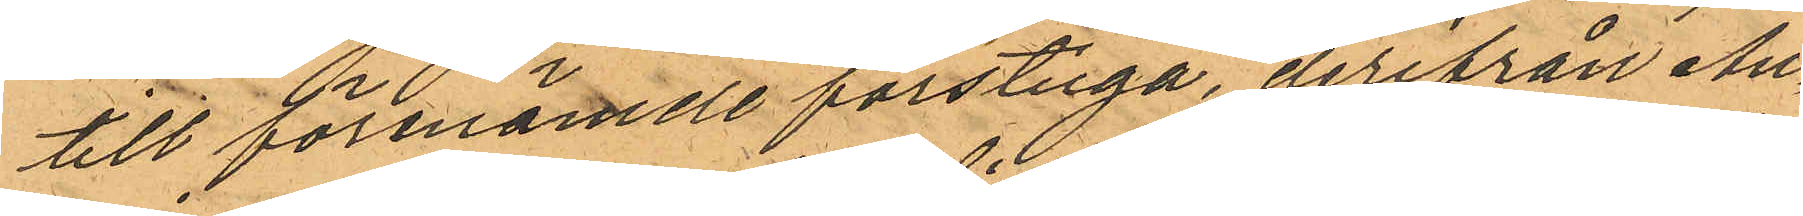till förenämde förstuga, derifrån An¬
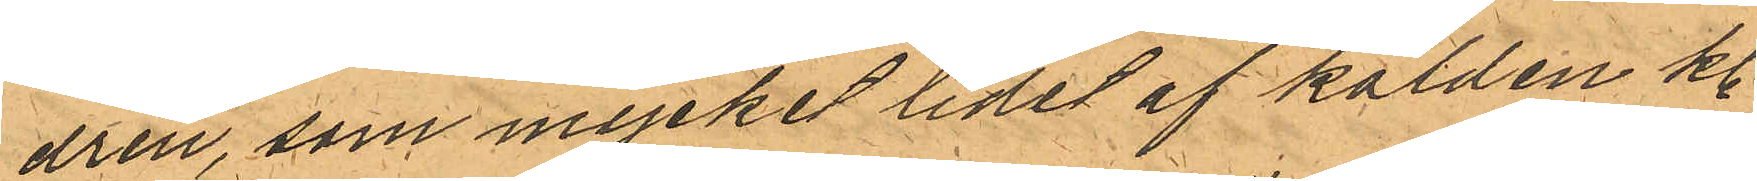drén, som mycket lidet af kölden kl
